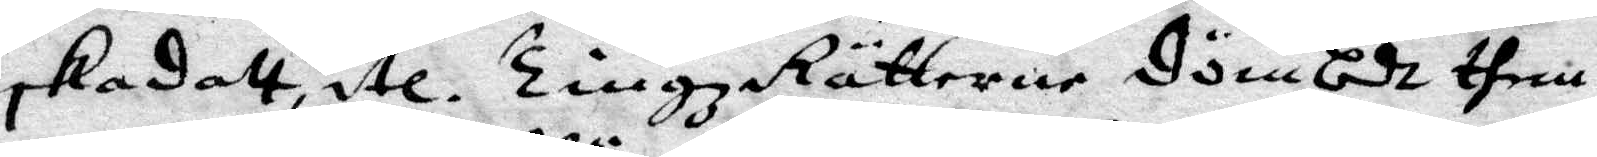skadatt, etc. TingzRätterne dömbde them
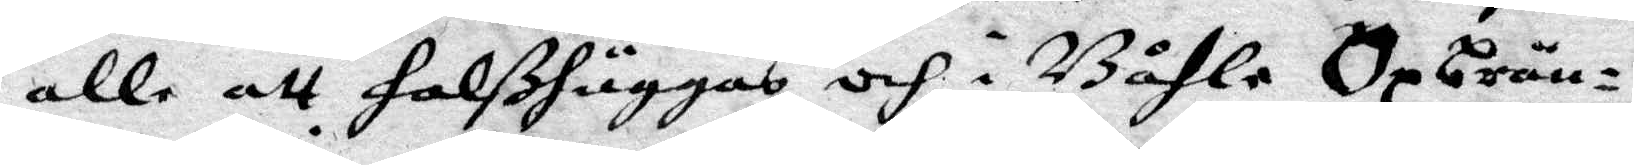alle att halßhuggas och i Båhle Opbrän¬
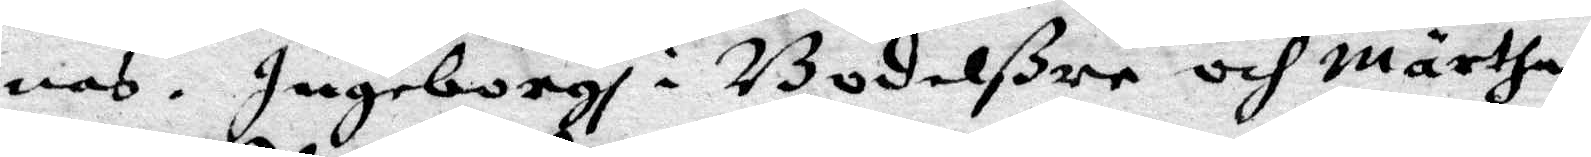nas. Ingeborgh i Bodalßre och Märtha
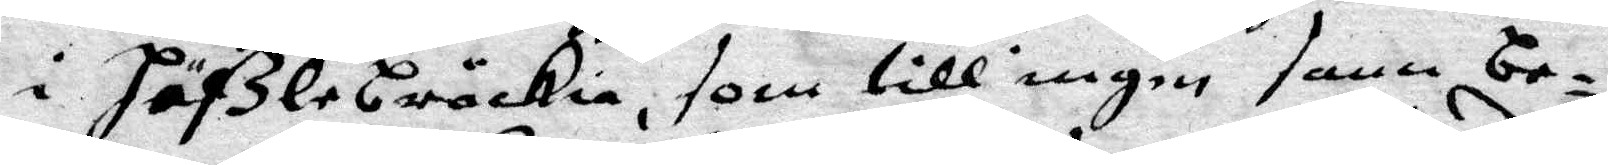i häßlebräckia, som till ingen sann be¬
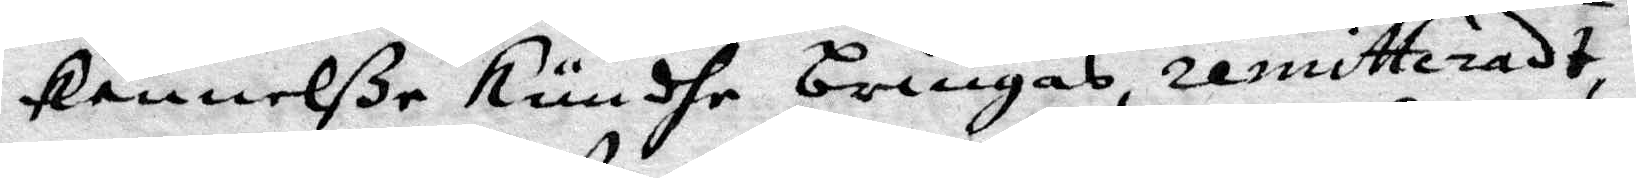kennelße kundhe bringas, remitteradt,
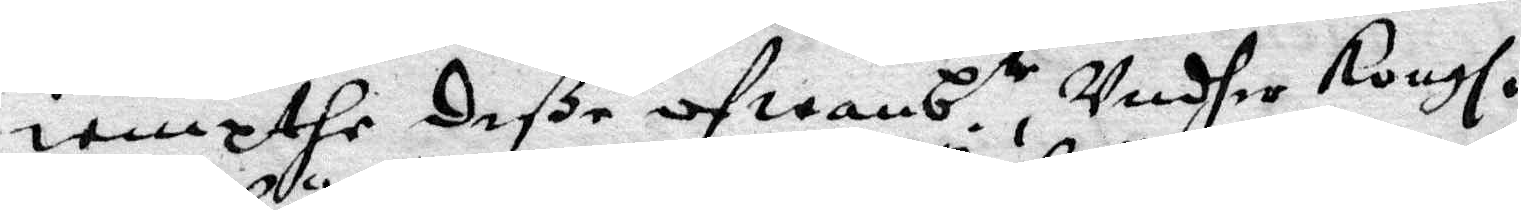iempthe deße ofwanb.te, undher Kongl.
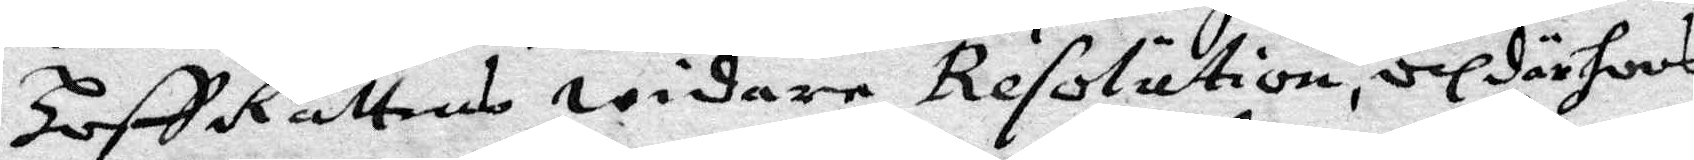HoffRättens widare resolution, och där hoos
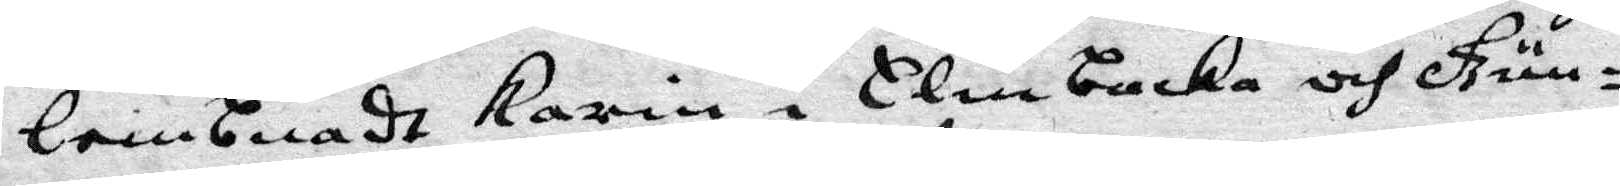lembnadt Karin i Elmbacka och Gun¬
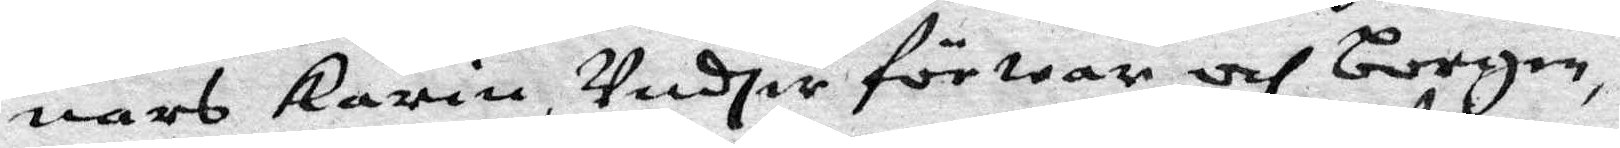nars karin, undher förwar och borgen,
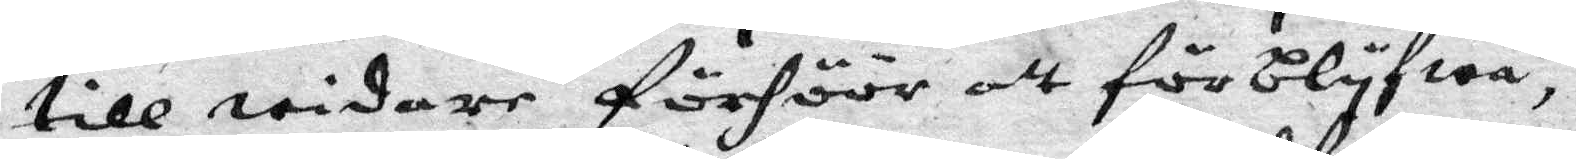till widare förhöör att förblyfwa,
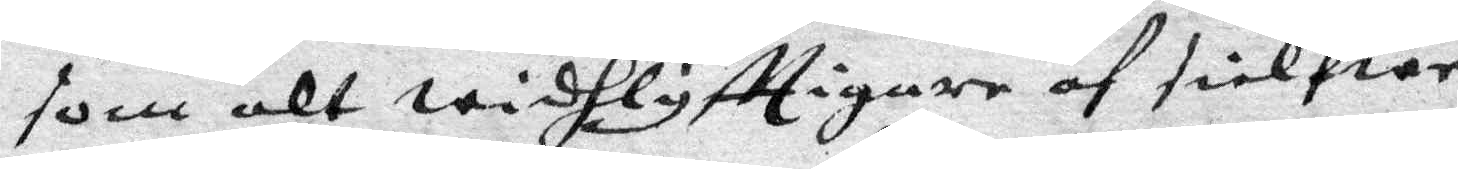som alt widhlyfttigare af sielfwe
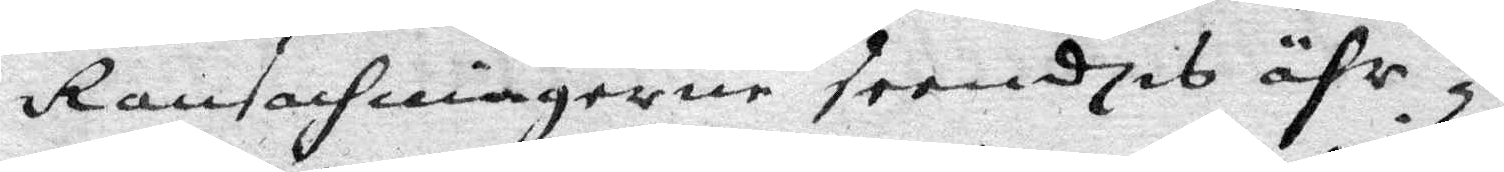Ransachningerne seendies ähr.
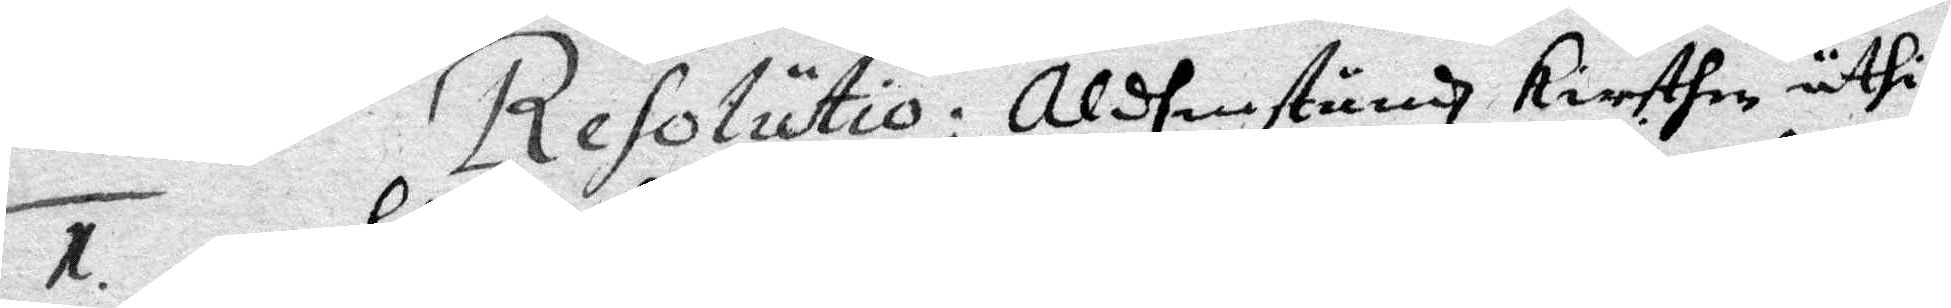1. Resolutio: Aldenstundh Kiersthen uthi
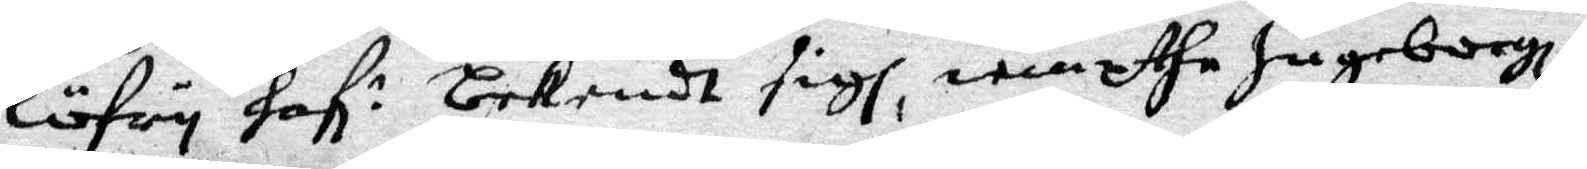Löfry haf: bekendt sigh, iempthe Ingeborgh
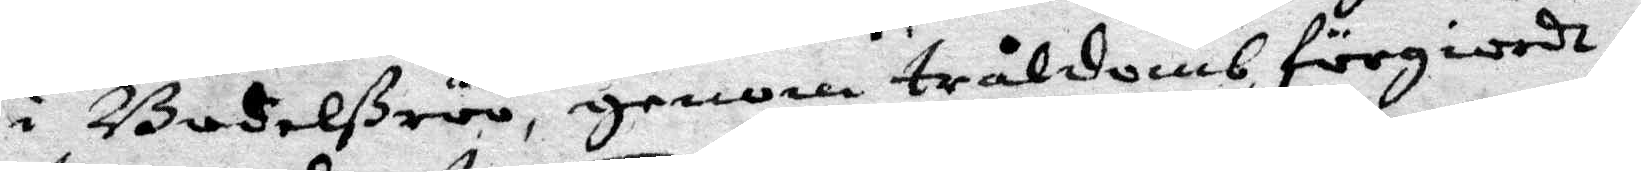i Budelßeöö, genom tråldomb föregiordh
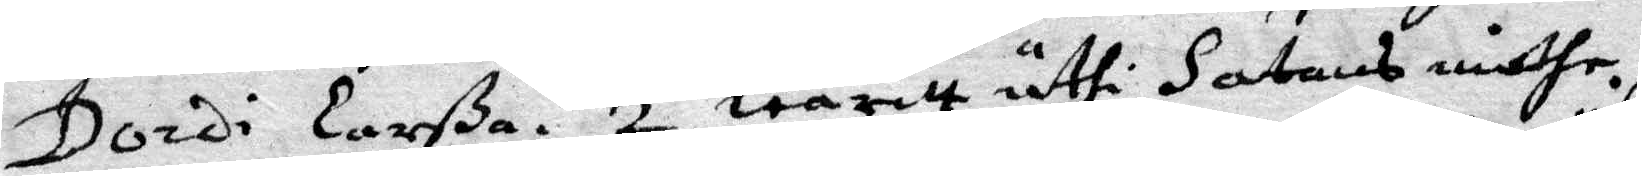Dordi Larßa. 2. waritt uthi Satans möthe.
